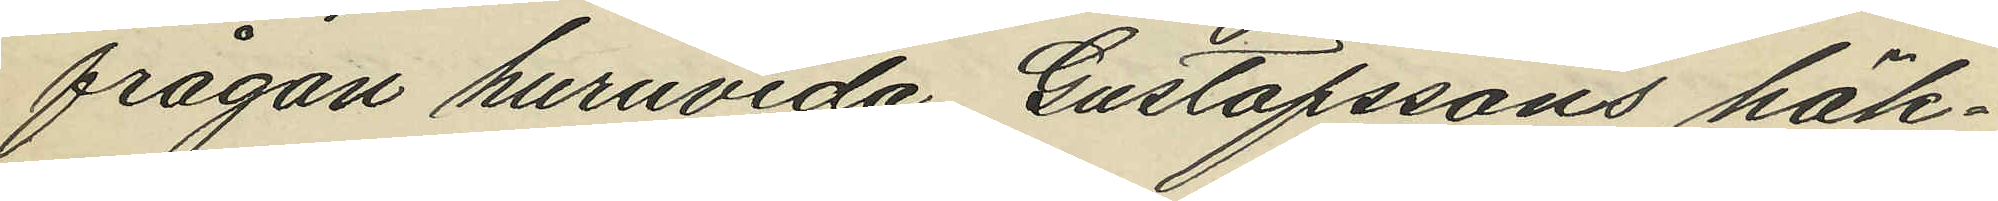frågan huruvida Gustafssons häk¬
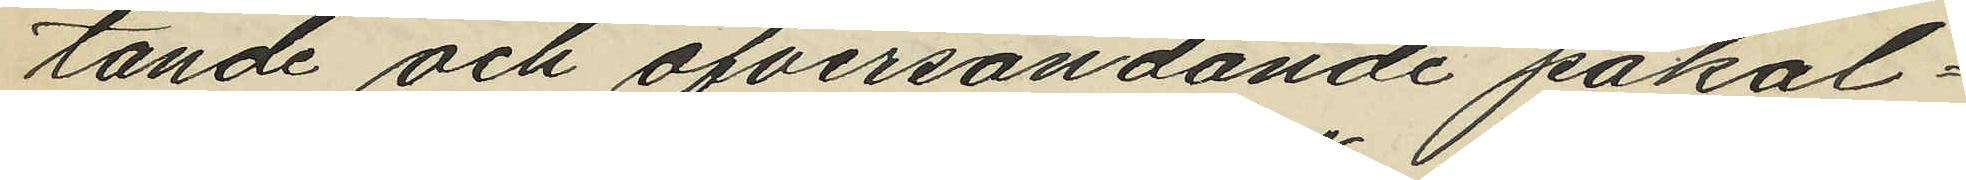tande och öfversändande påkal¬
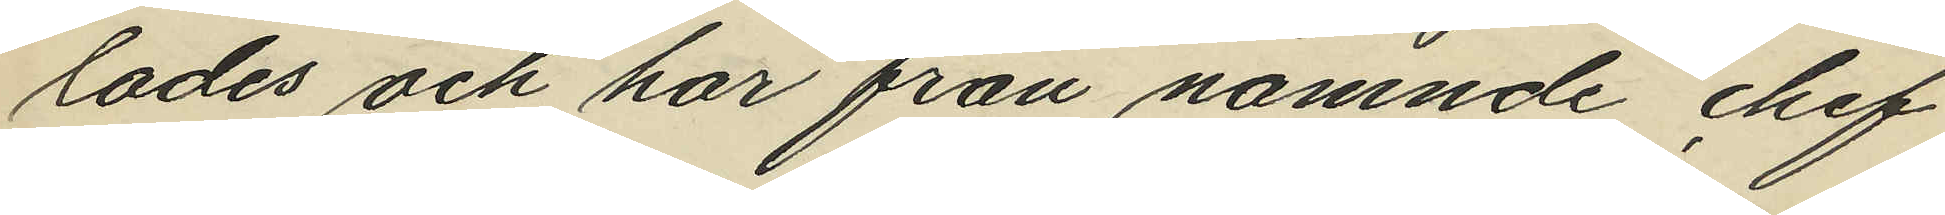lades och har från nämnde chef
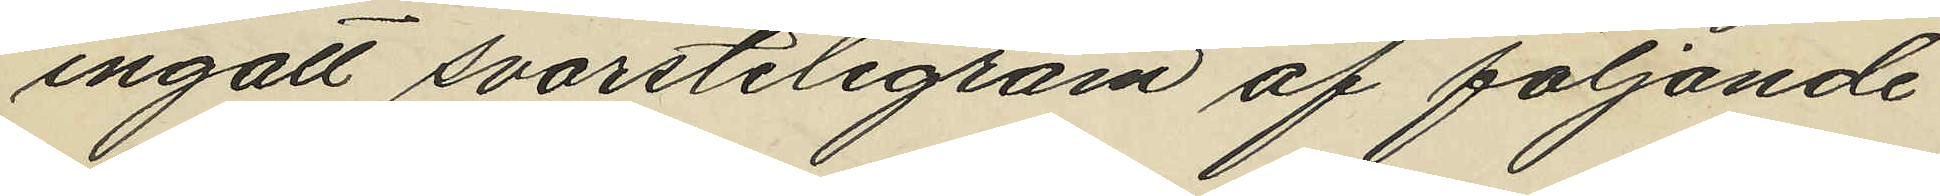ingått svarstelegram af följande
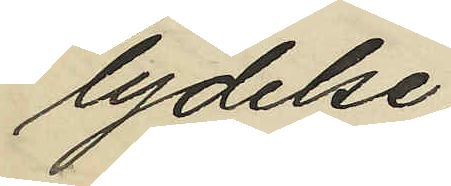lydelse.
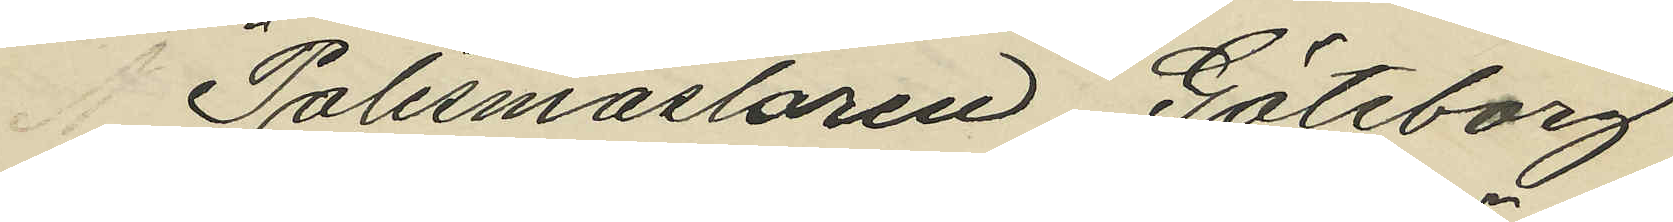"Polismästaren Göteborg
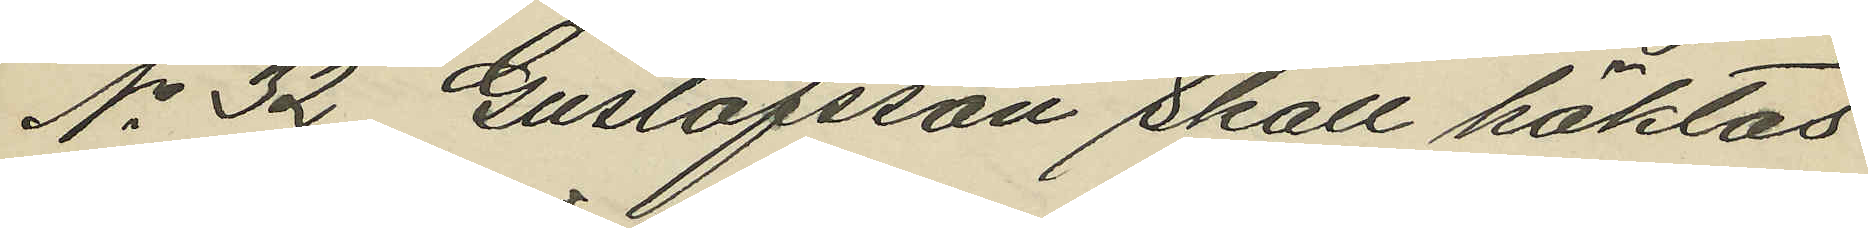No 32 Gustafsson skall häktas
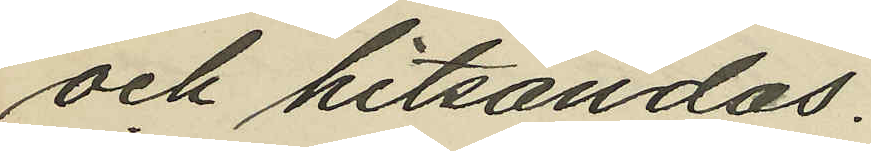och hitsändas.
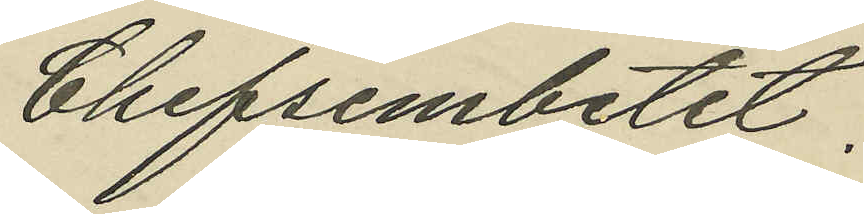Chefsembetet."
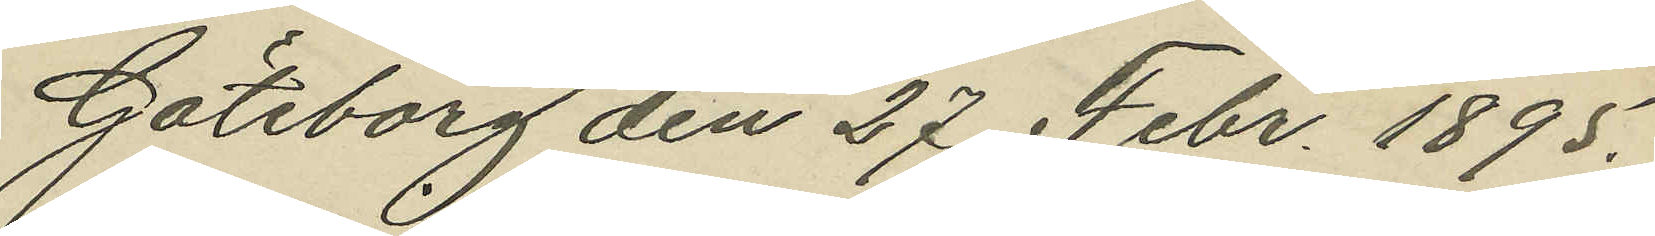Göteborg den 27 Febr 1895.
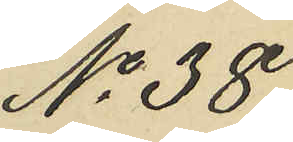No 38.
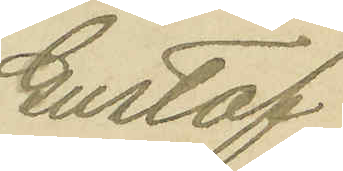Gustaf
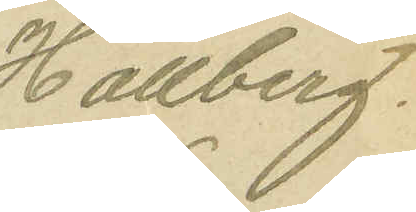Hallberg.
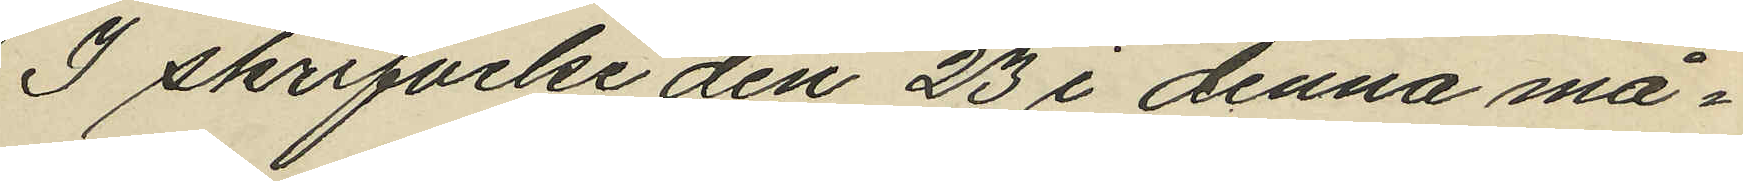I skrifvelse den 23 i denna må¬
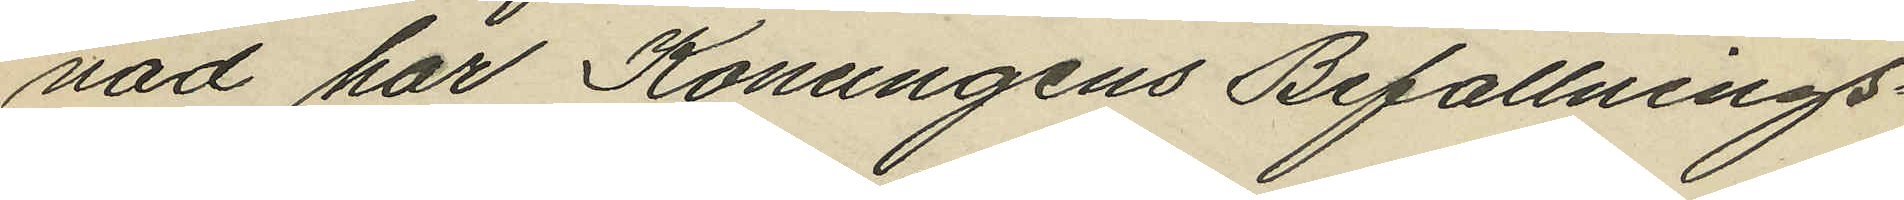nad har Konungens Befallnings¬
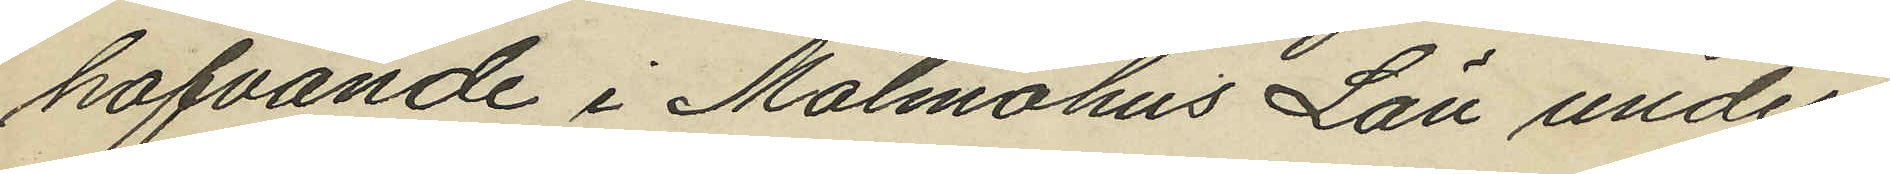hafvande i Malmöhus Län under
